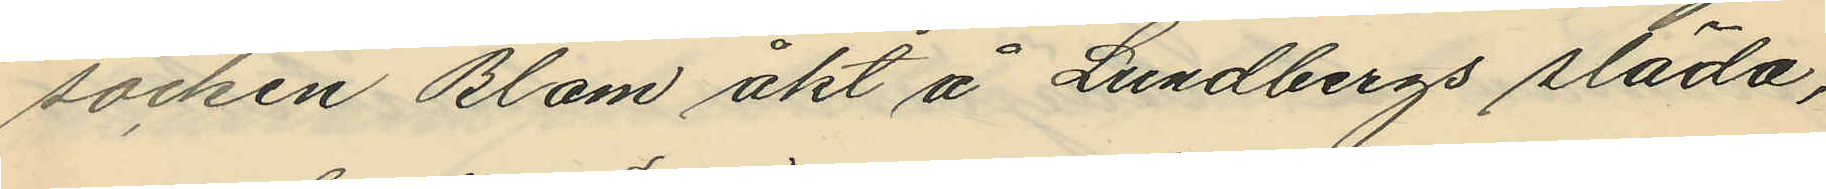socken Blom åkt å Lundbergs släda,
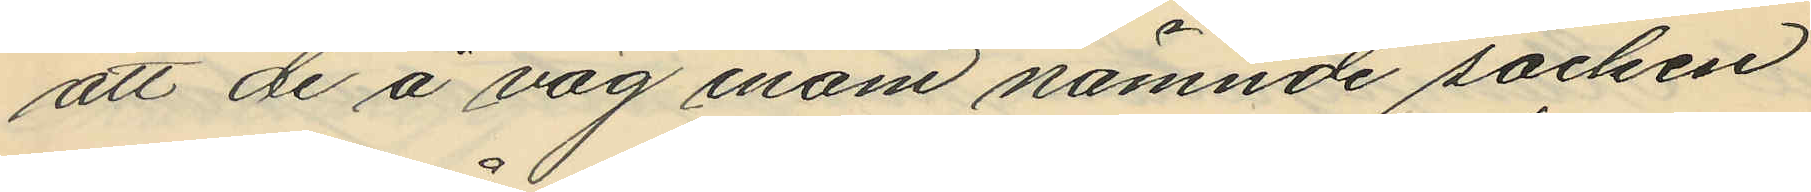att de å väg inom nämnde socken
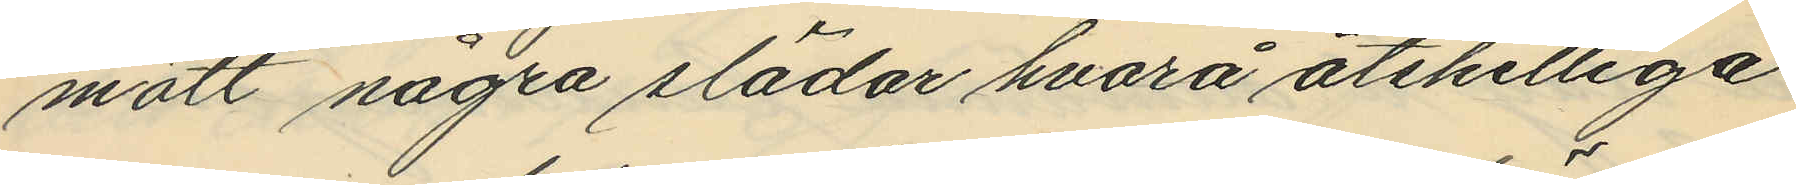mött några slädar hvarå åtskilliga
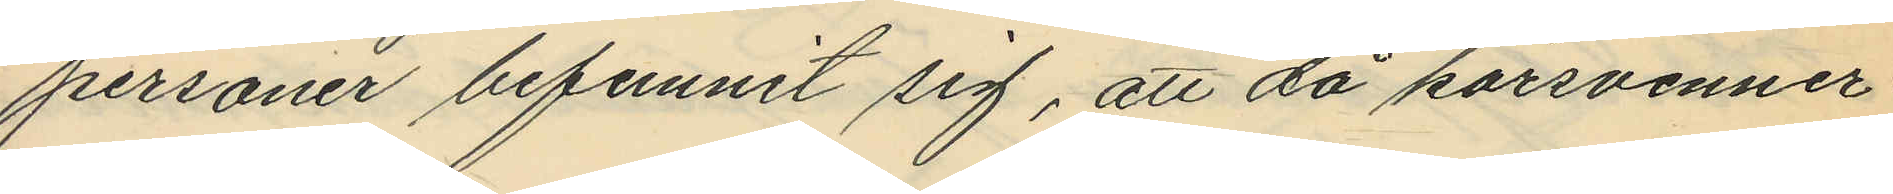personer befunnit sig, att då körsvenner¬
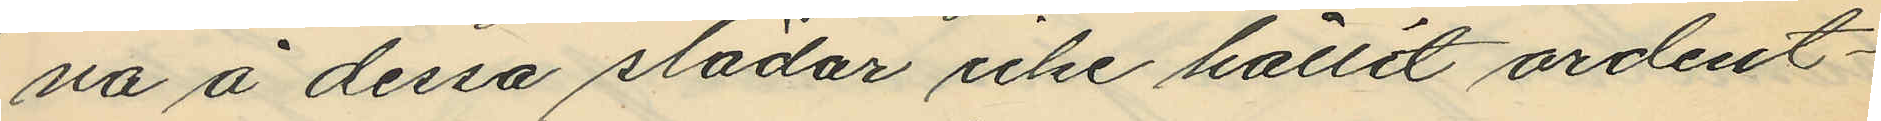na å dessa slädar icke hållit ordent¬
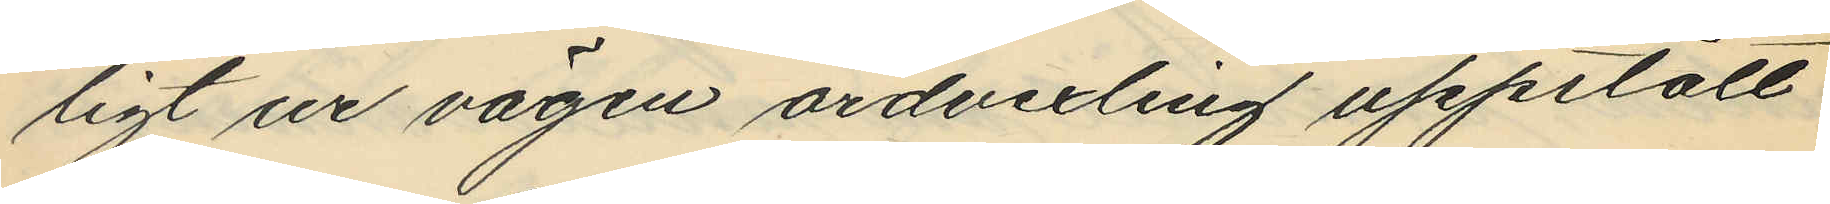ligt ur vägen ordvexling uppstått
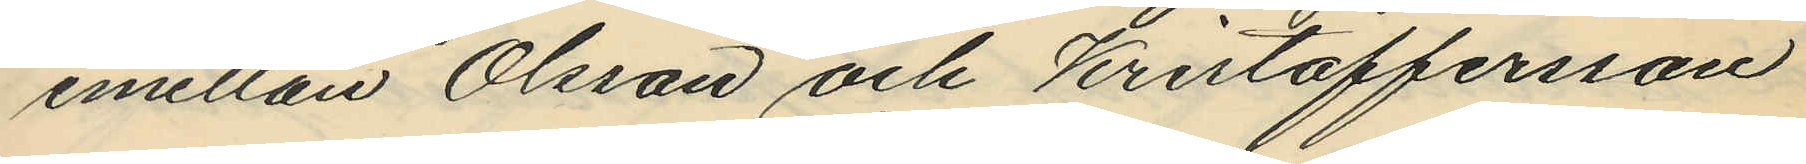emellan Olsson och Kristoffersson
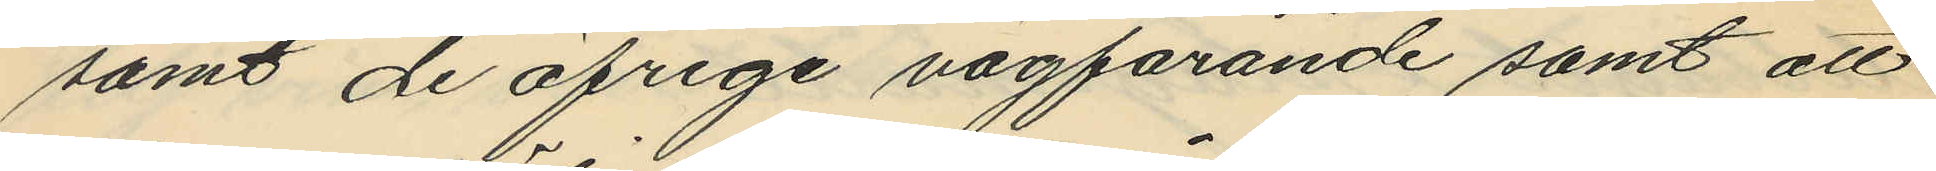samt de öfriga vägfarande samt att
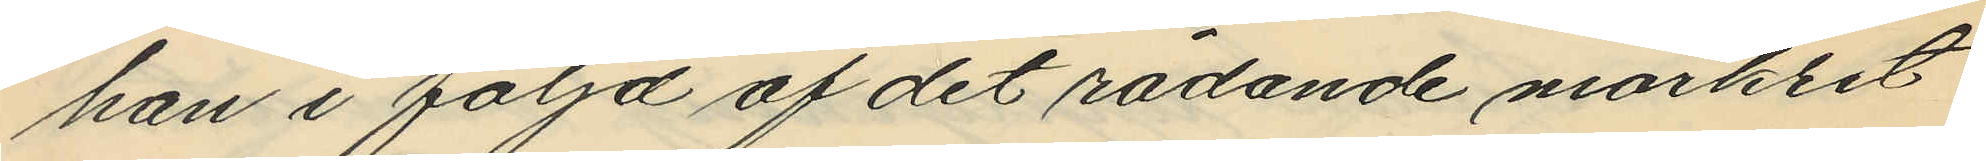han i följd af det rådande mörket
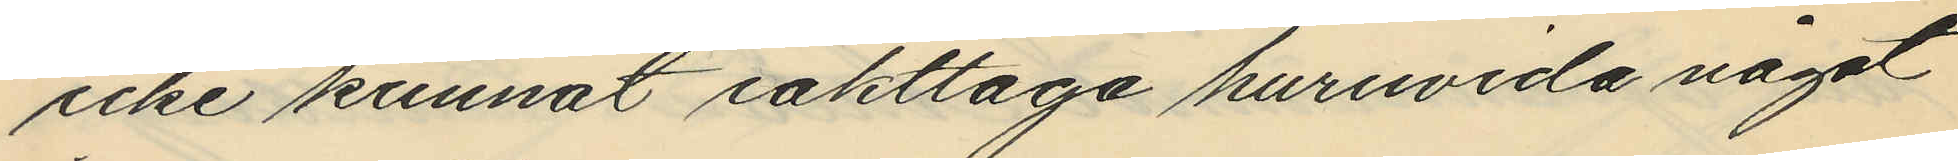icke kunnat iakttaga huruvida något
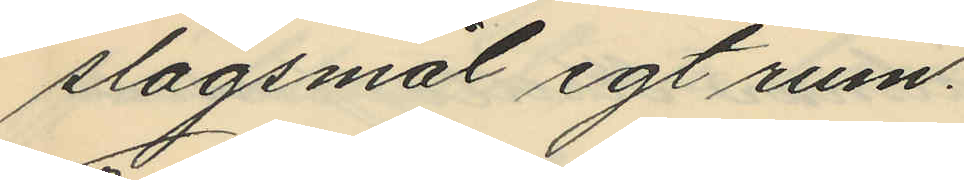slagsmål egt rum.
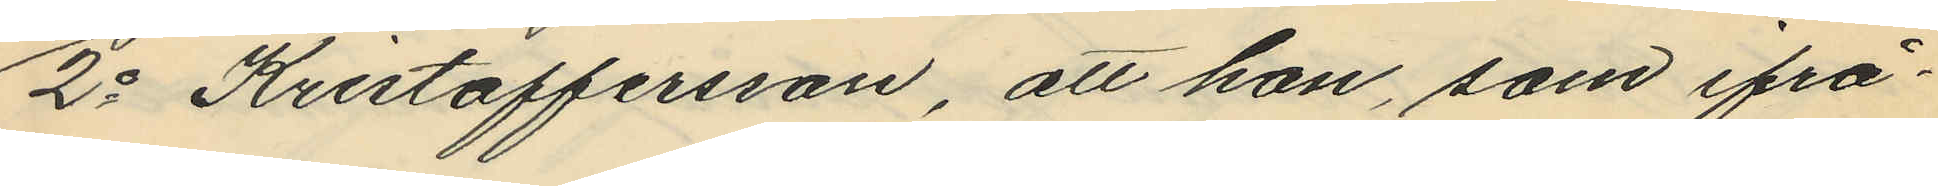2o Kristoffersson, att han, som ifrå¬
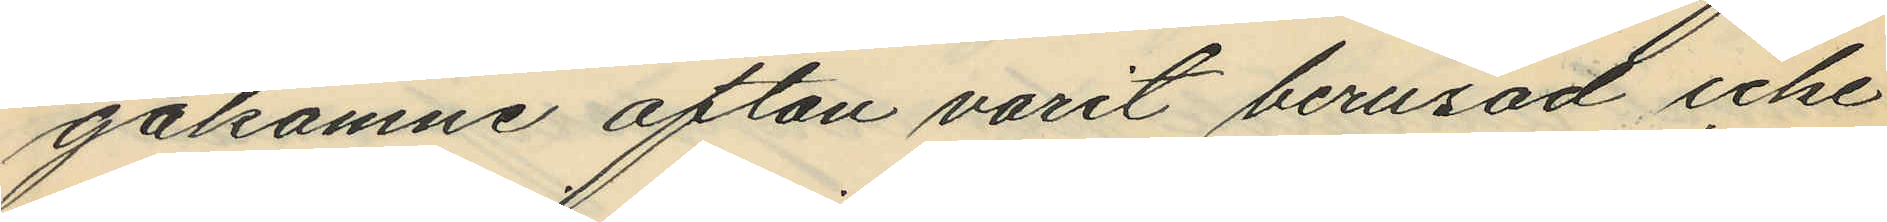gakomne afton varit berusad icke
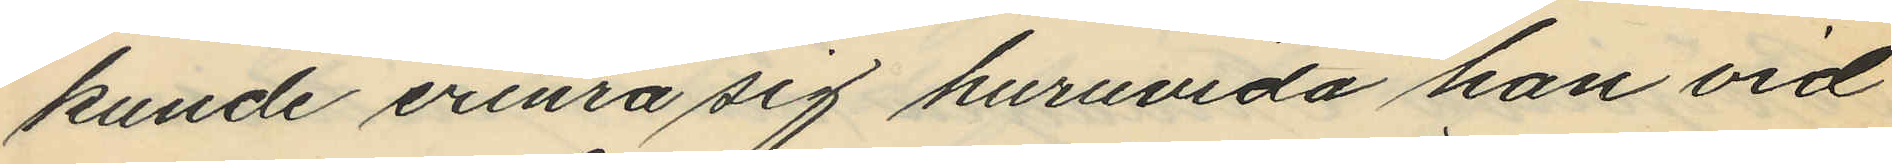kunde erinra sig huruvida han vid
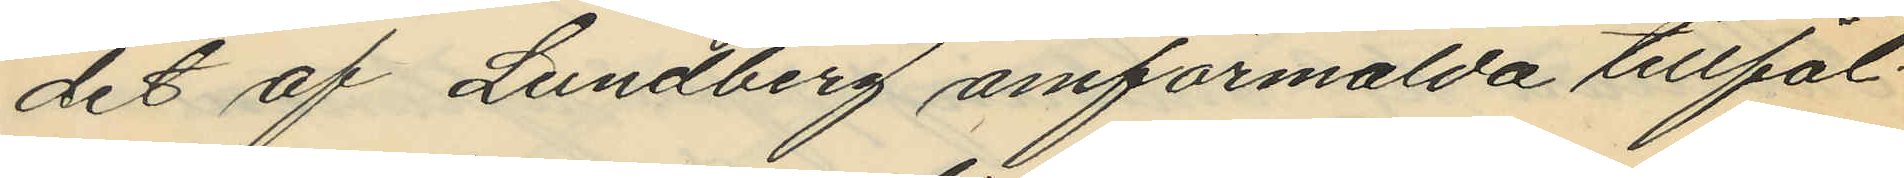det af Lundberg omförmälda tillfäl¬
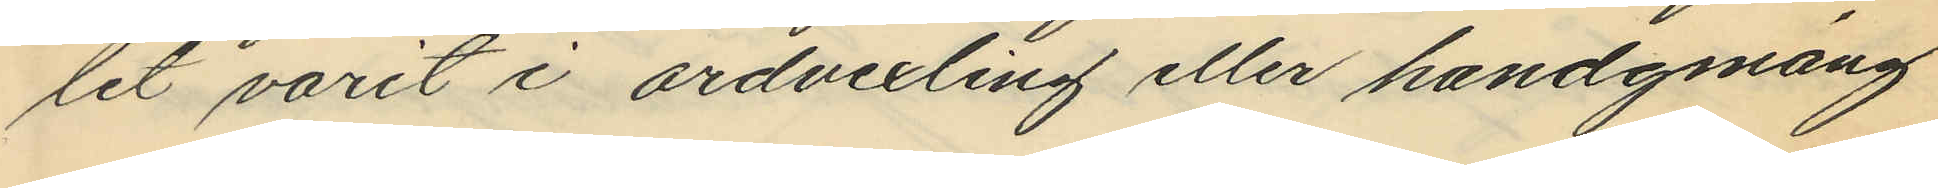let varit i ordvexling eller handgmäng
